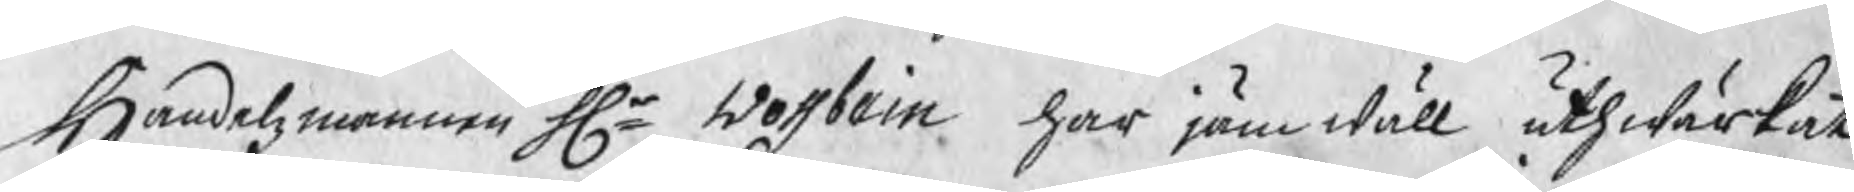Handelsmannen Hr Wossbein har jäm wäll uthwärkat
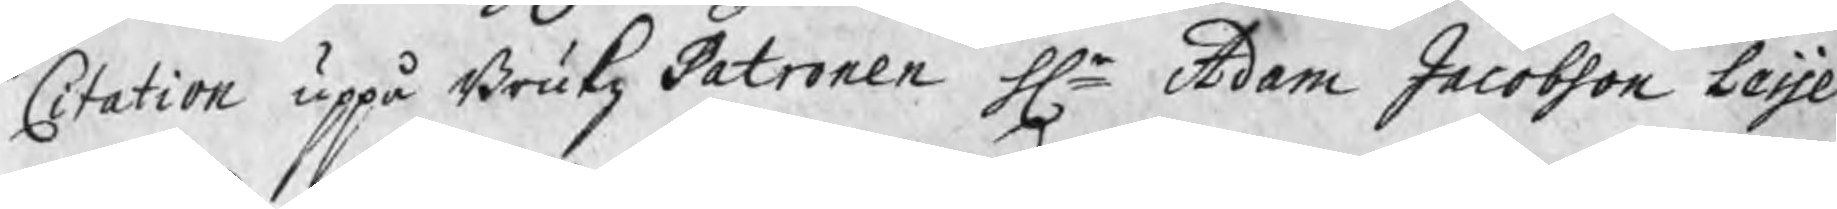Citation uppå BrukzPatronen Hr Adam Jacobson Leijel
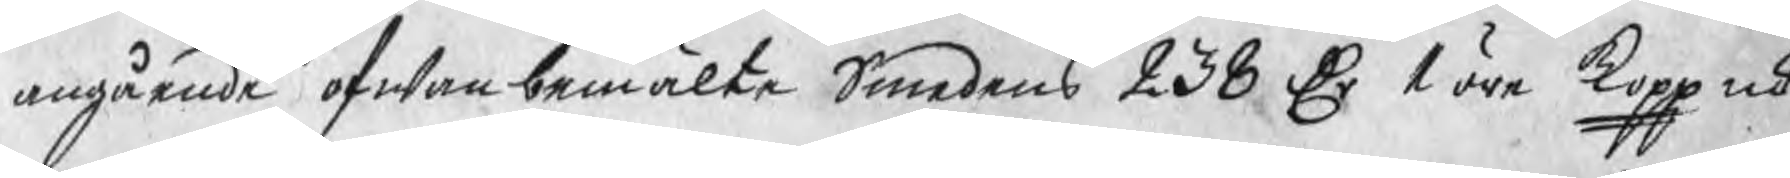angående ofwanbemälte Smedens 238 Dr 1 öre kopp mt
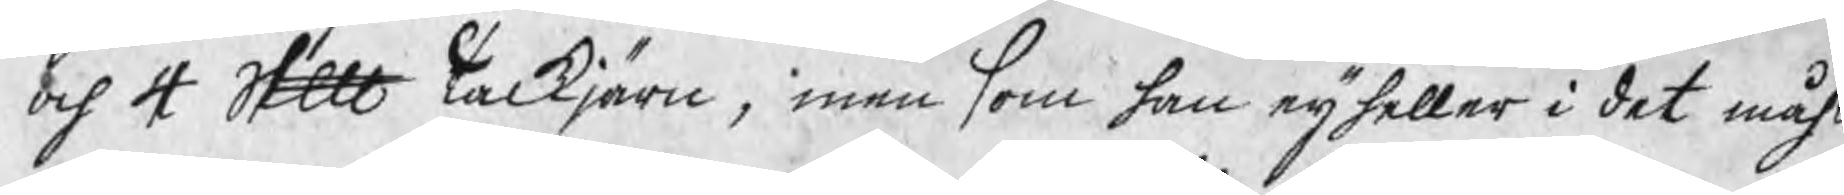och 4 Skp Tackjärn, men som han eij heller i det måhl
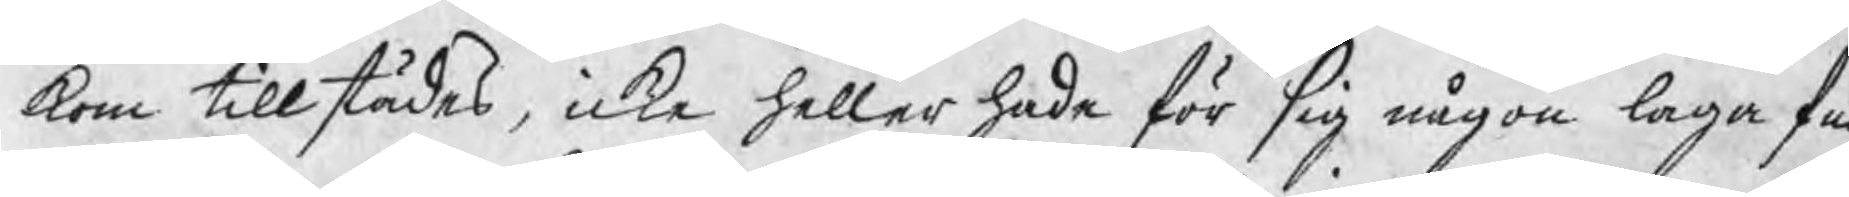kom tillstädes, icke heller hade för sig någon laga ful
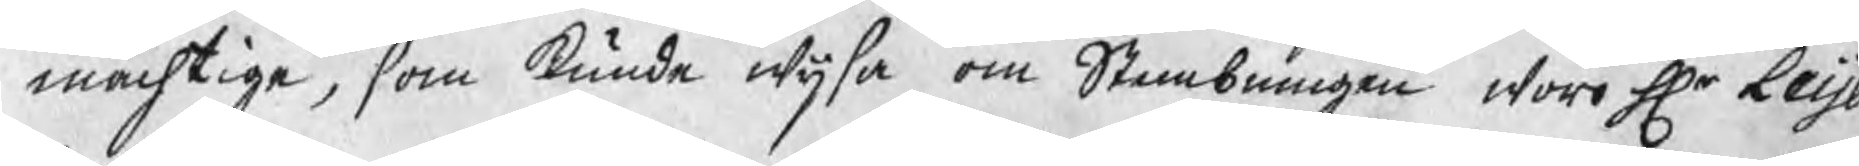mächtige, som kunde wijsa om Stembningen woro Hr Leij
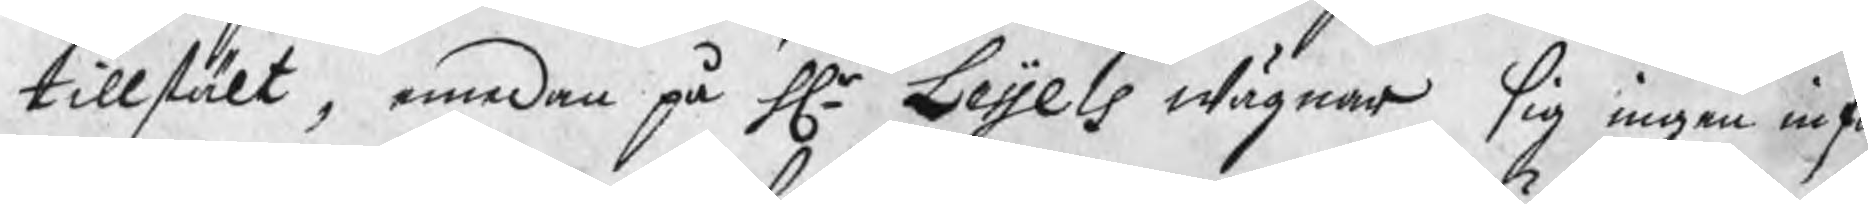tillstält, emedan på Hr Leijels wägnar sig ingen inf
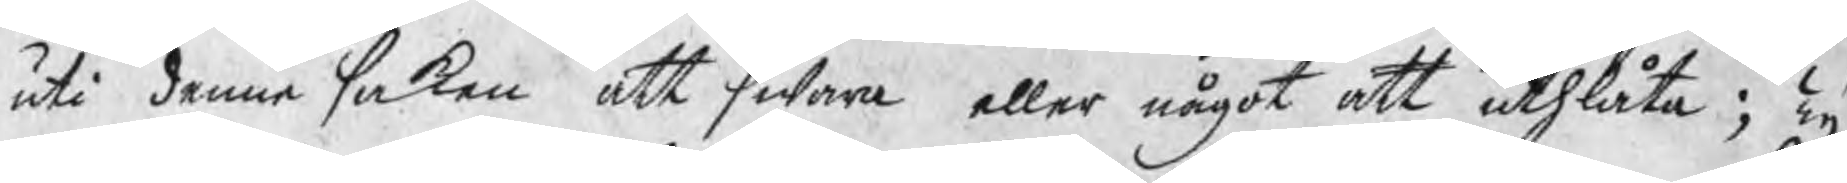uti denna saken att swara eller något att uthlåta; Ty
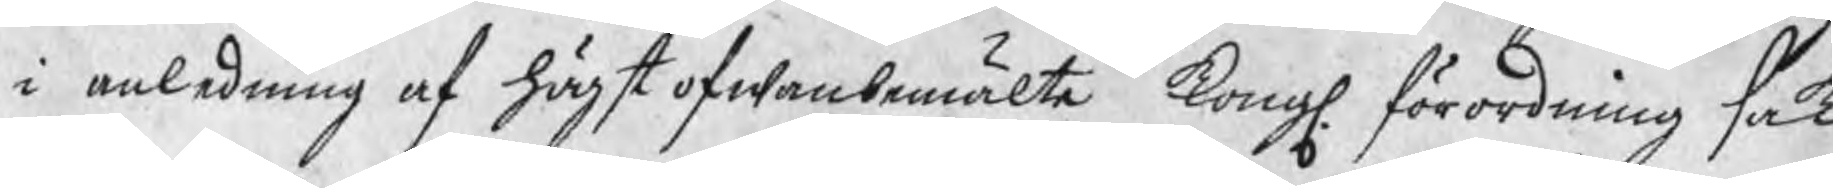i anledning af högst ofwanbemälte Kongl. förordning sak
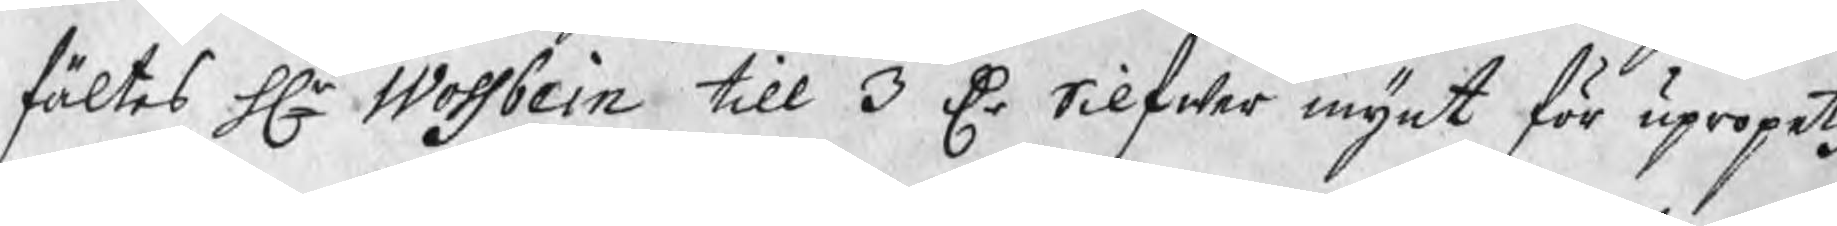fältes Hr Wossbein till 3 Dr Silfwer mynt för upropetz
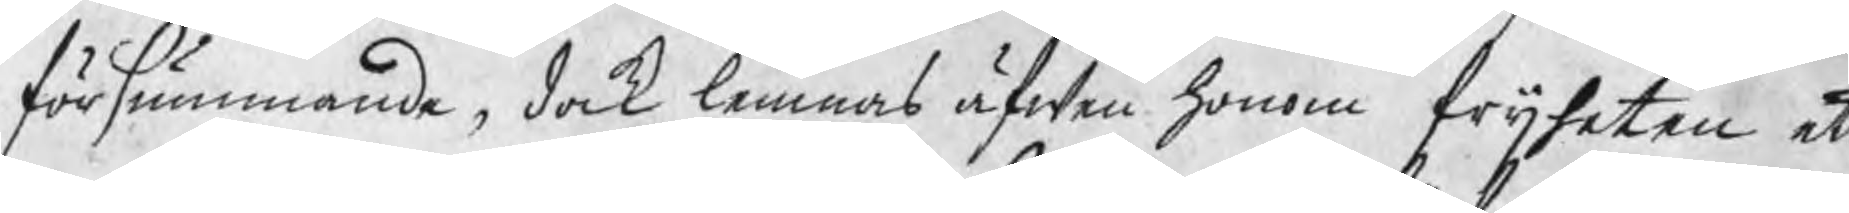försummande, dock lemnas äfwen honom frijheten ett
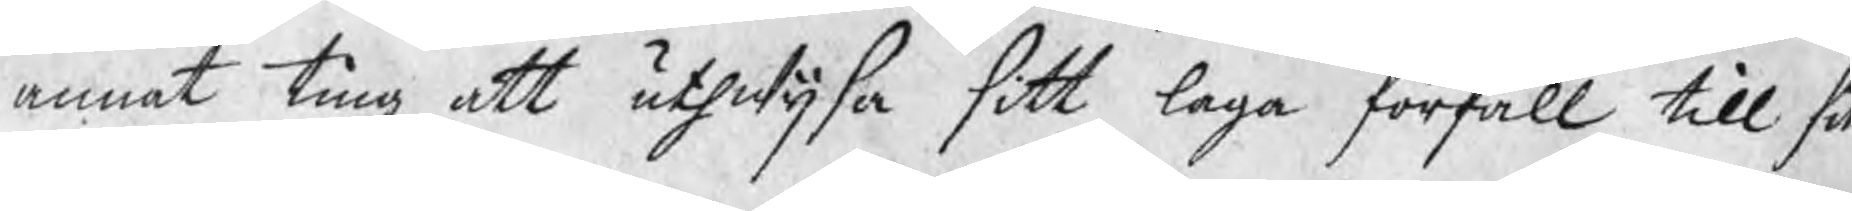annat ting at uthwijsa sitt laga förfall till sitt
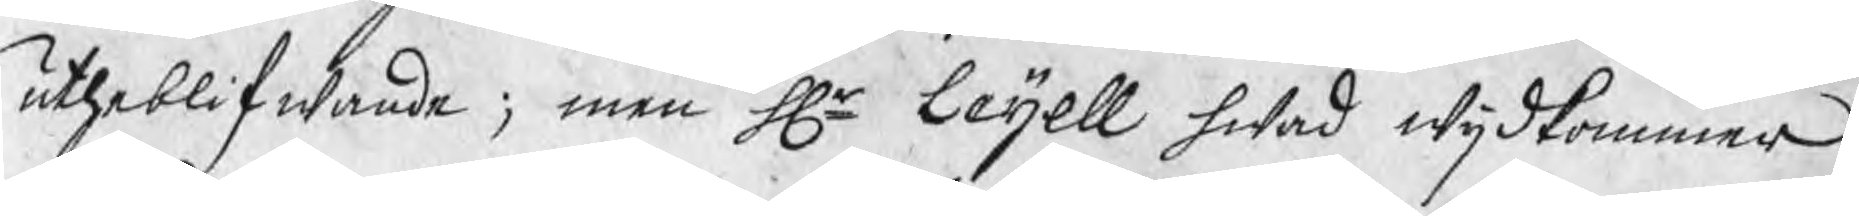utheblifwande; men Hr Leijell hwad wijdkommer,
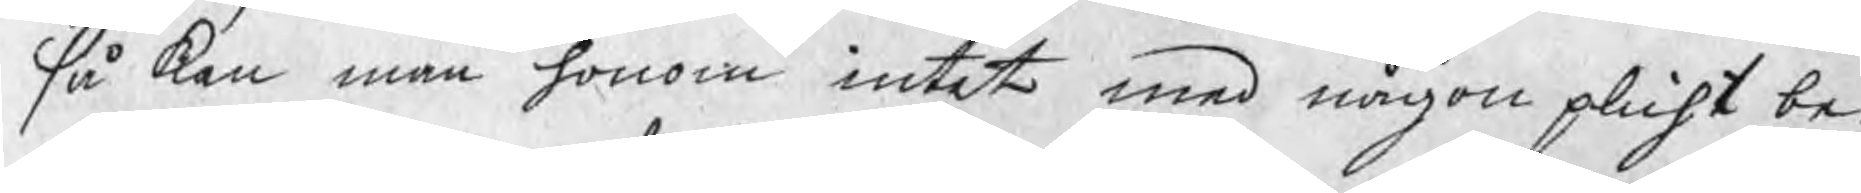så kan man honom intet med någon plicht be¬
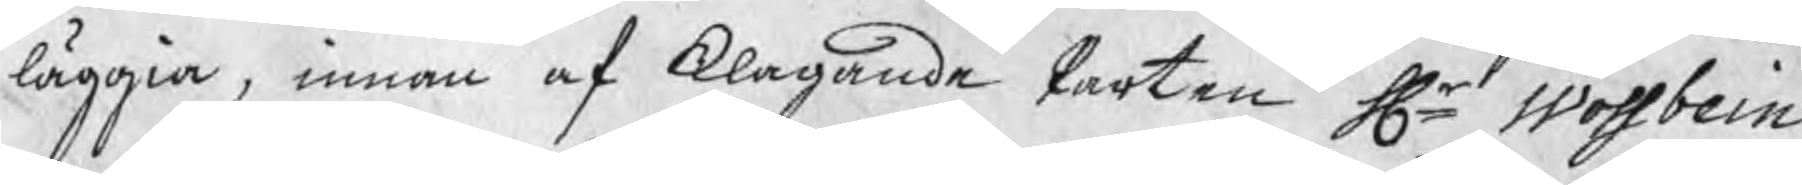läggia, innan af klagande Parten Hr Wossbein
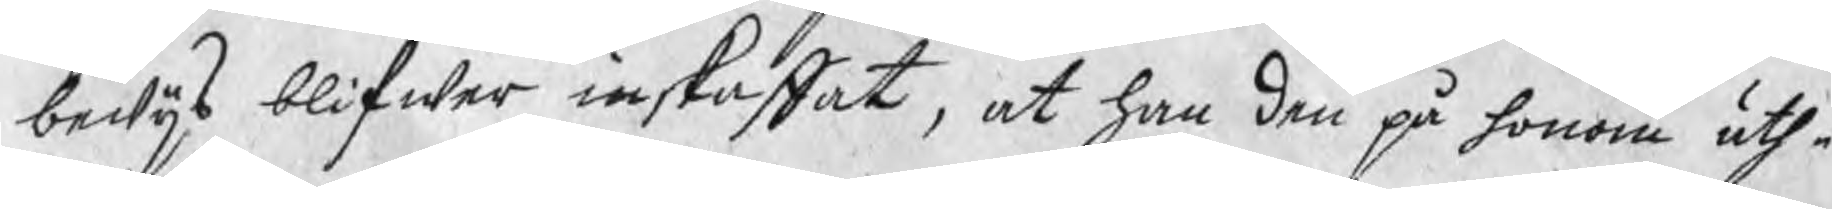bewijs blifwer inskaffat, at han den på honom uth¬
